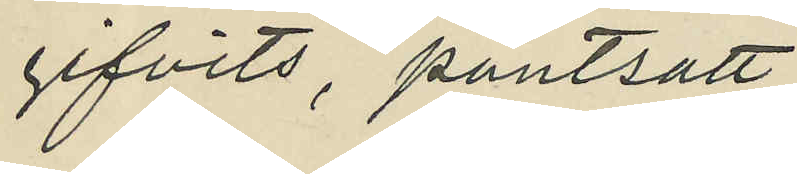gifvits, pantsatt.
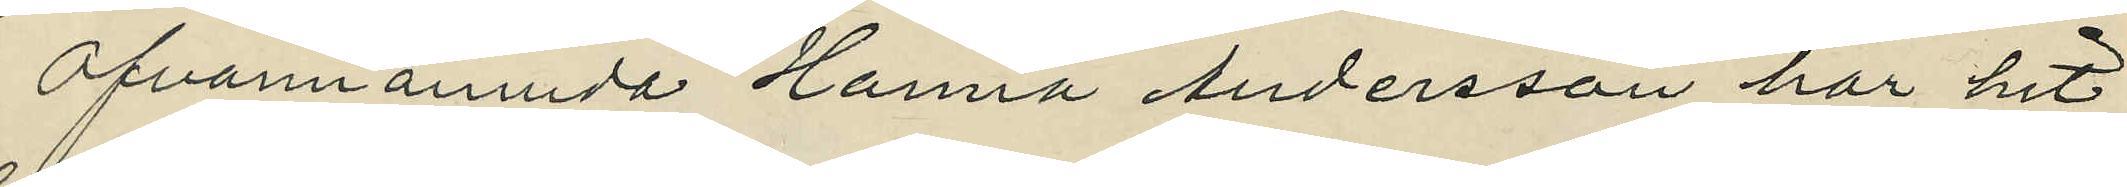Ofvannämnda Hanna Andersson har hit¬
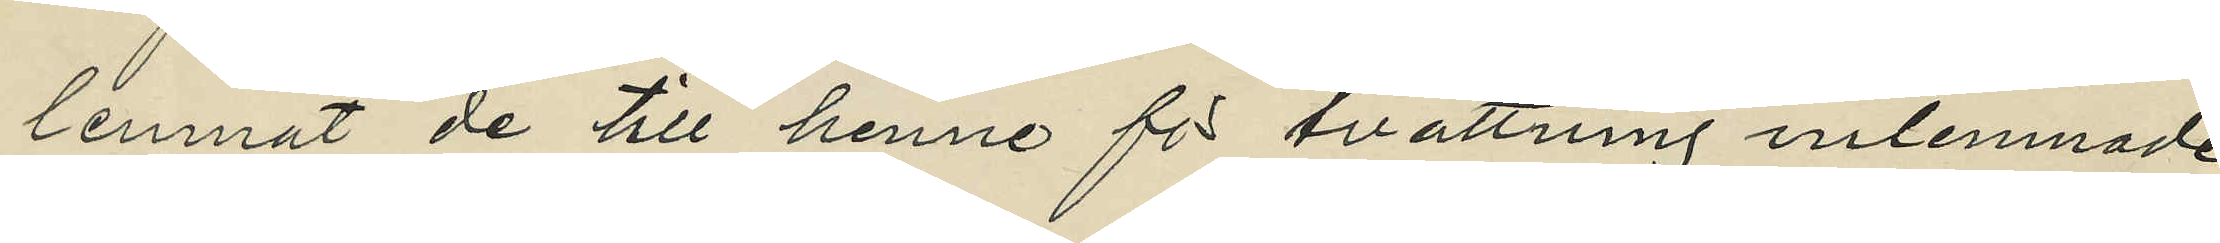lemnat de till henne för tvättning inlemnade
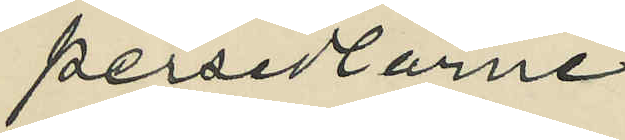persedlarne.
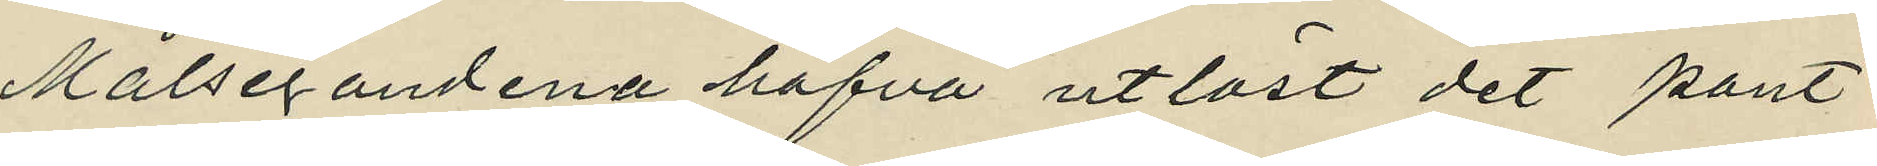Målsegandena hafva utlöst det pant¬
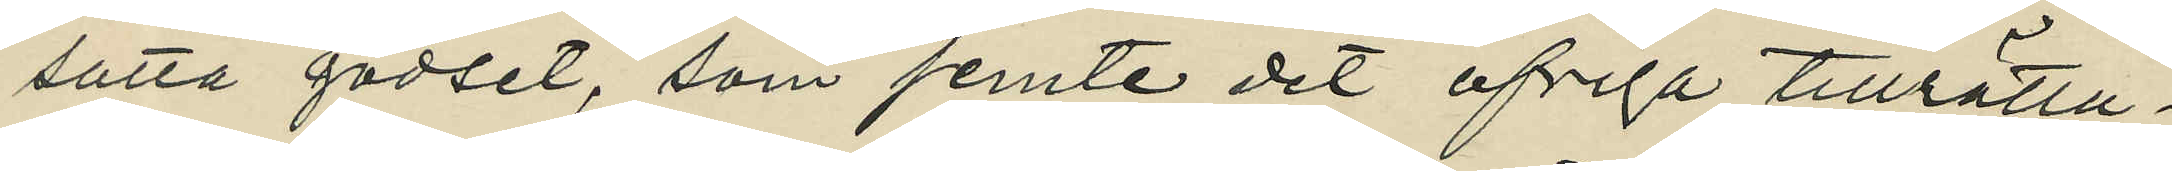satta godset, som jemte det öfriga tillrätta¬
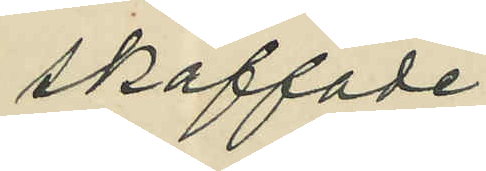skaffade
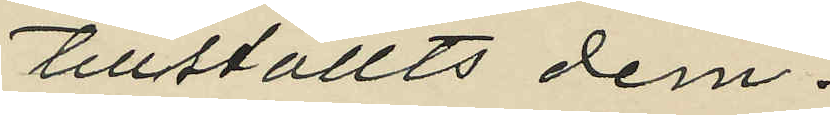tillställts dem.
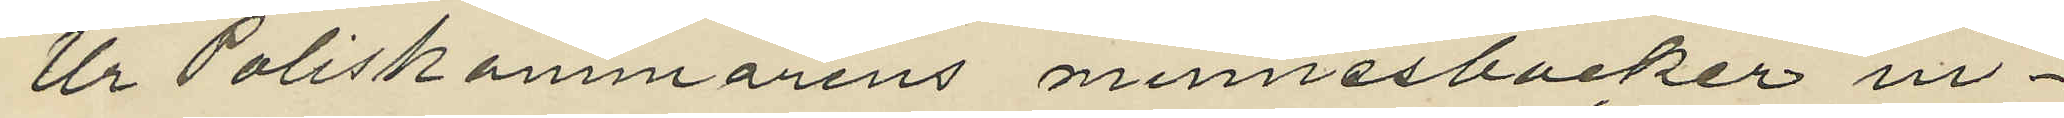Ur Poliskammarens minnesböcker in¬
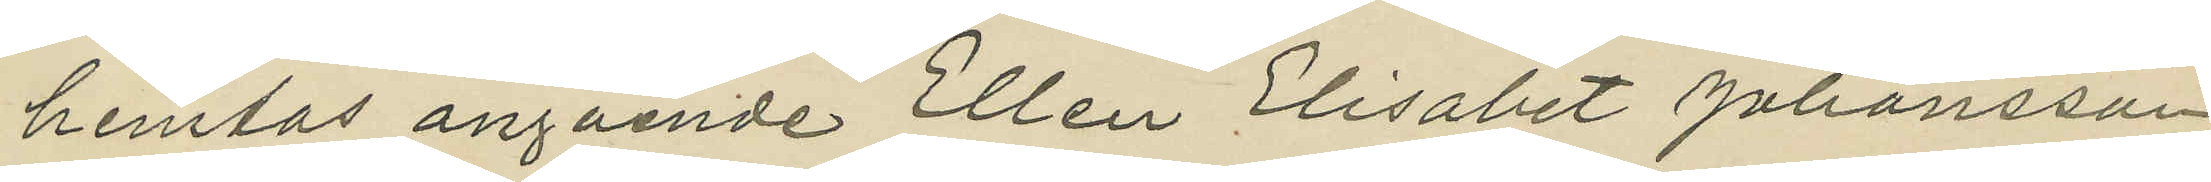hemtas angående Ellen Elisabet Johansson,
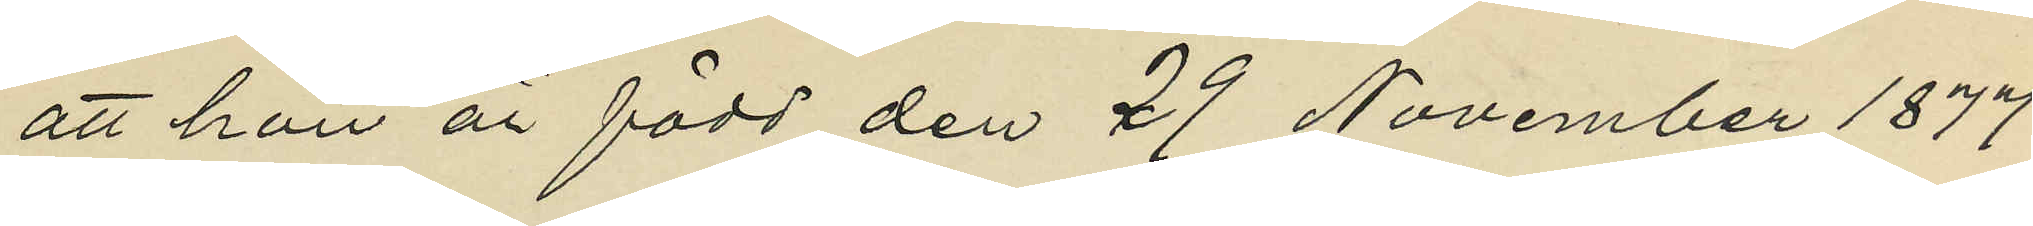att hon är född den 29 November 1877
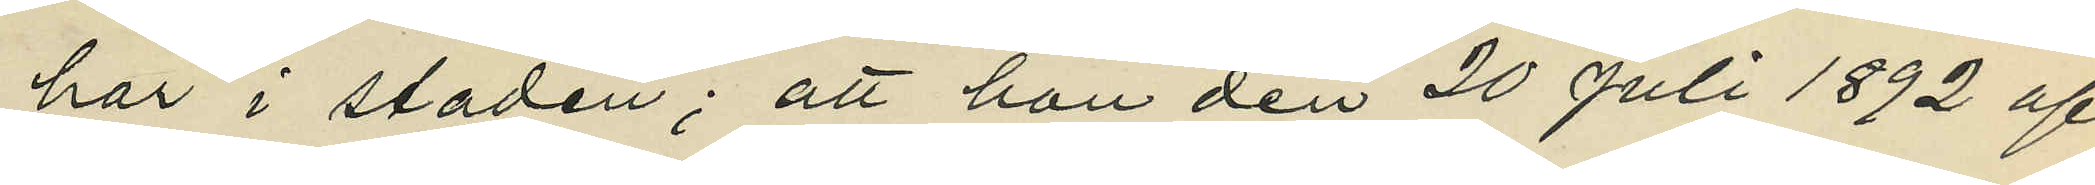här i staden; att hon den 20 Juli 1892 af
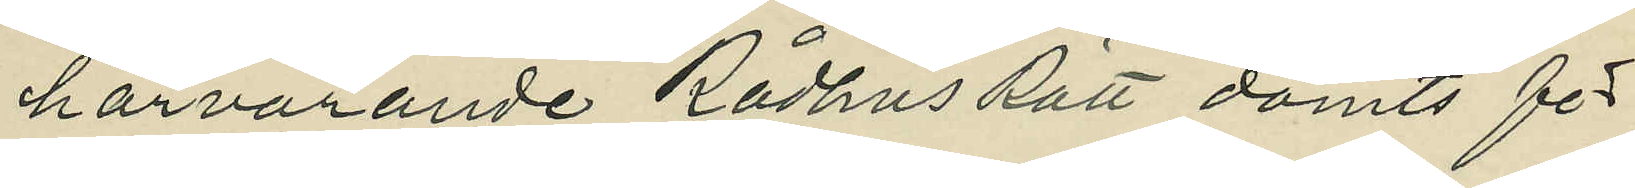härvarande Rådhus Rätt dömts för
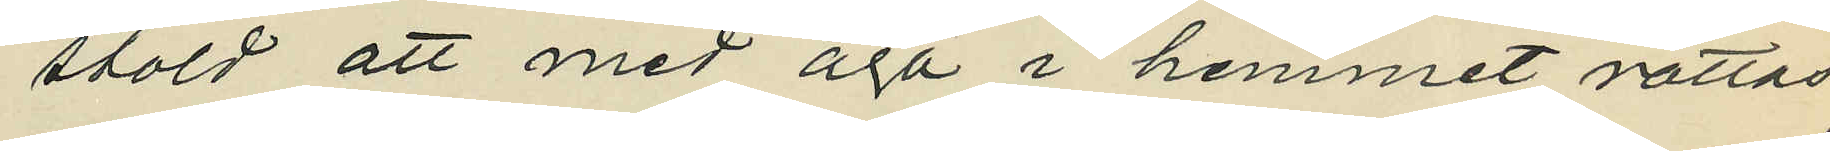stöld att med aga i hemmet rättas;
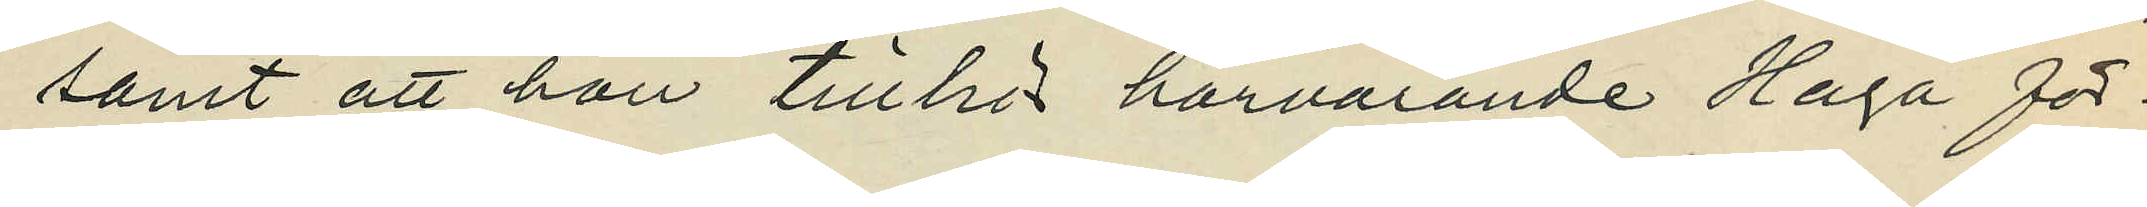samt att hon tillhör härvarande Haga för¬
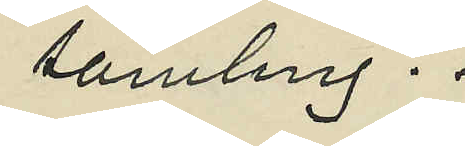samling.
